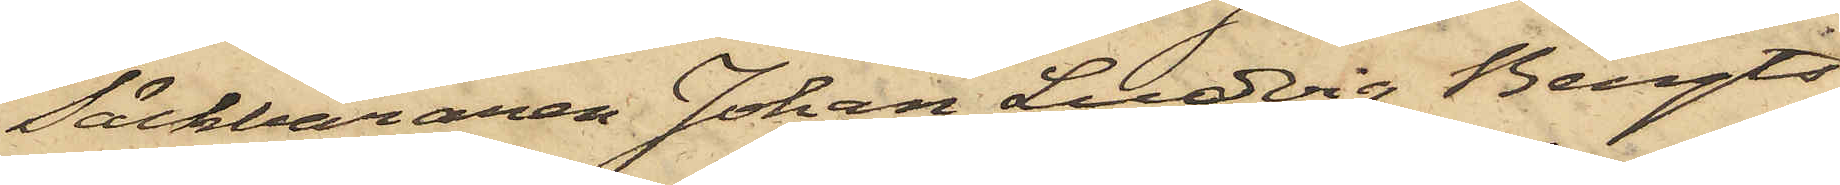Säckbäraren Johan Ludvig Bengts¬
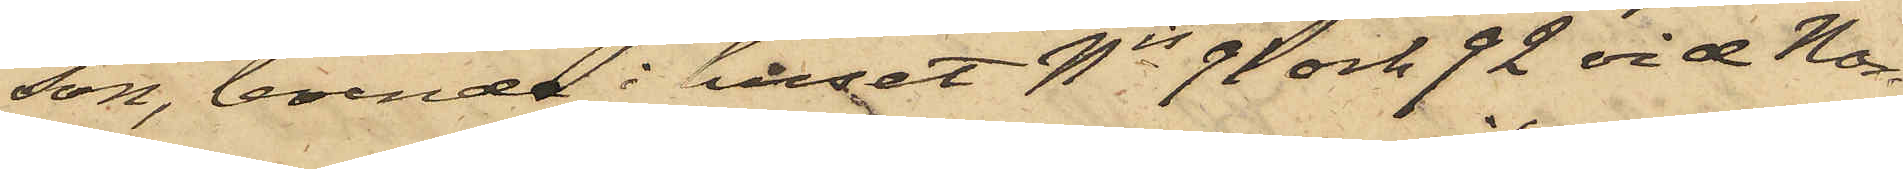son, boende i huset Nis 91 och 92 vid Nor¬
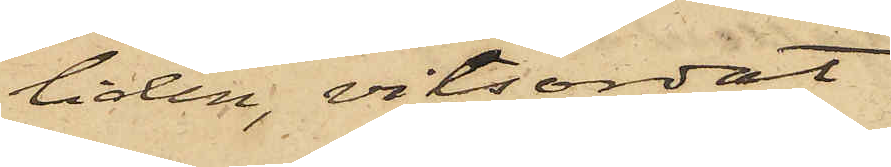liden, vitsordat
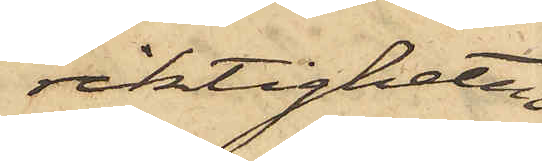riktigheten
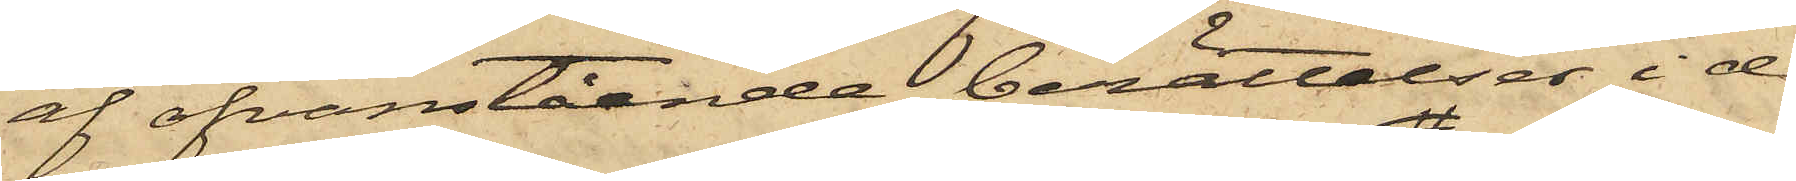af ofvanstående berättelser i de
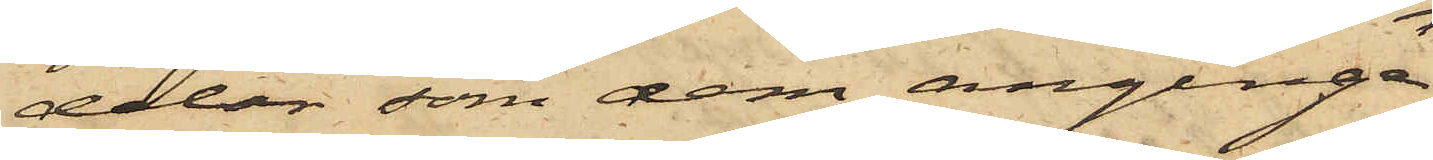delar som dem anginge,
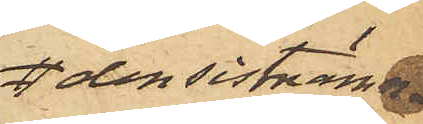den sistnämn¬
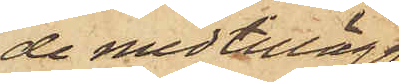de med tillägg
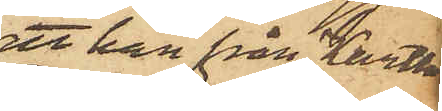att han från Karth
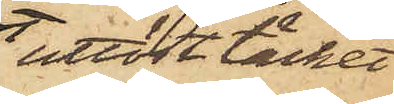utlöst täcket
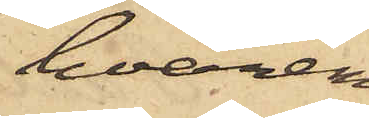hvaremot
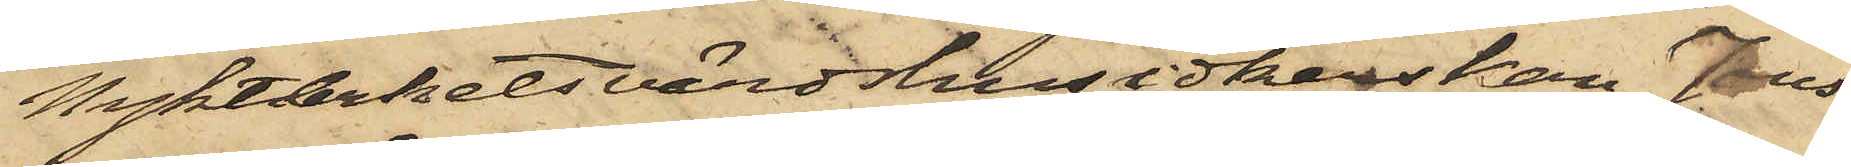Nykterhetsvärdshusidkerskan Jons¬
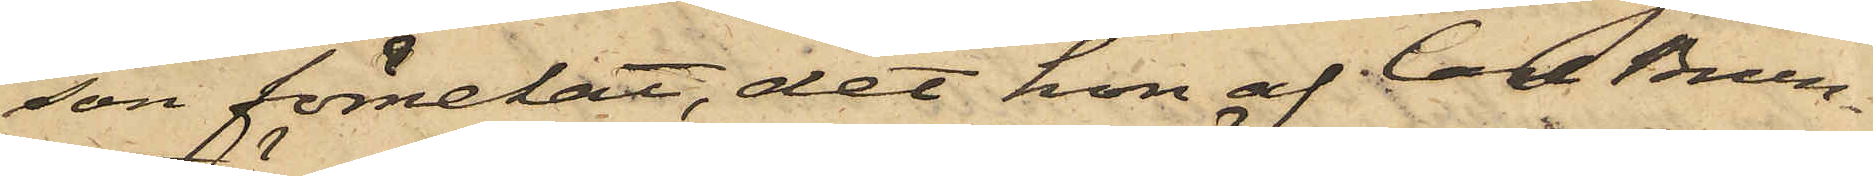son förnekat, det hon af Carl Brun¬
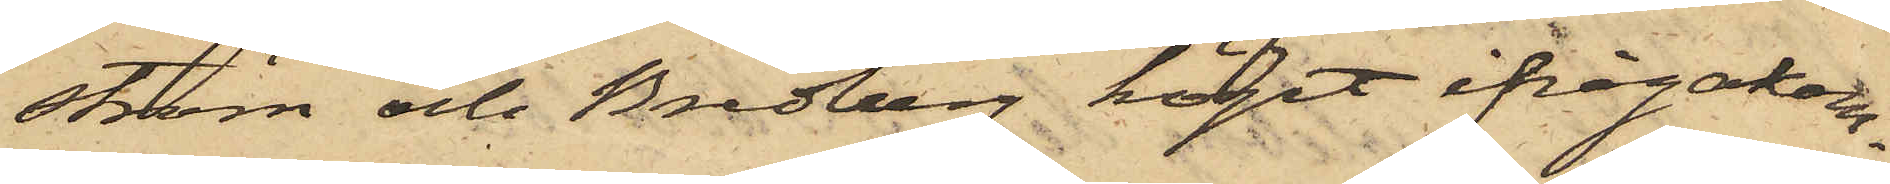ström och Bredberg köpt ifrågakom¬
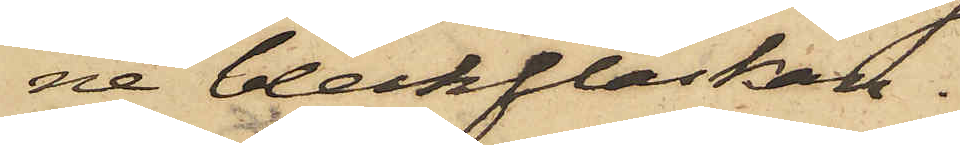ne bleckflaskan.
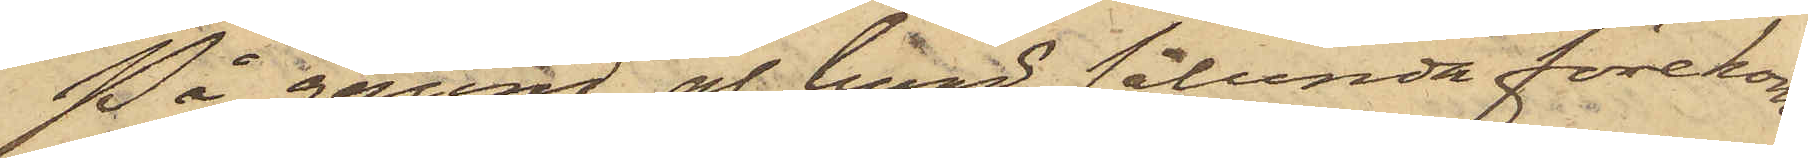På grund af hvad sålunda förekom¬
